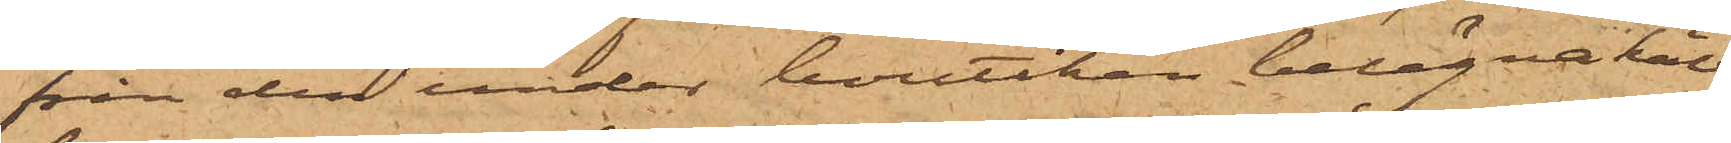från den under boutiken belägna käl¬
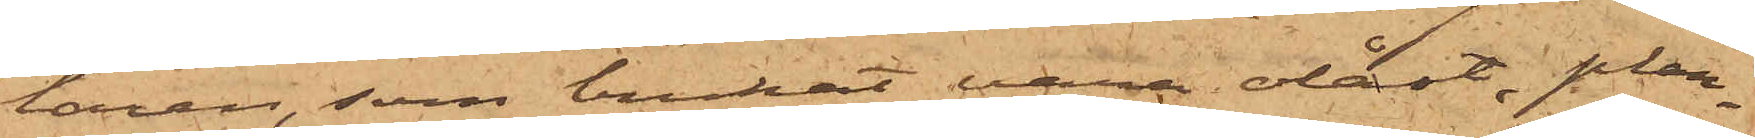laren, som brukat vara olåst, plan¬
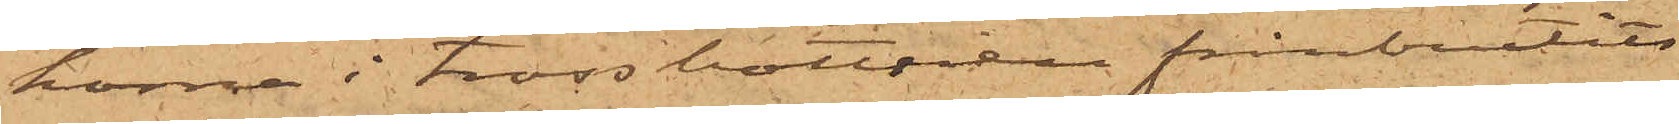korna i trossbottnen frånbrutits
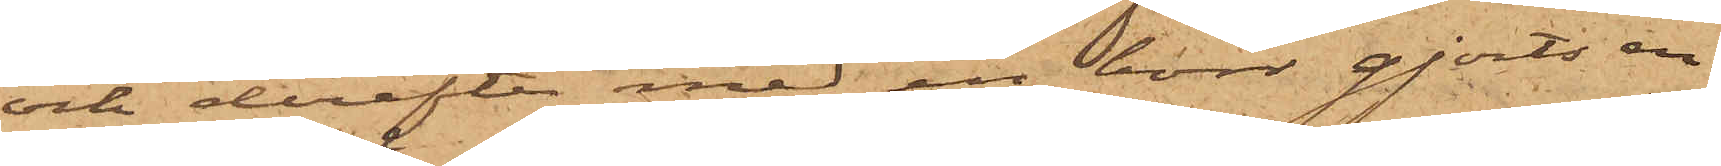och derefter med en borr gjorts en
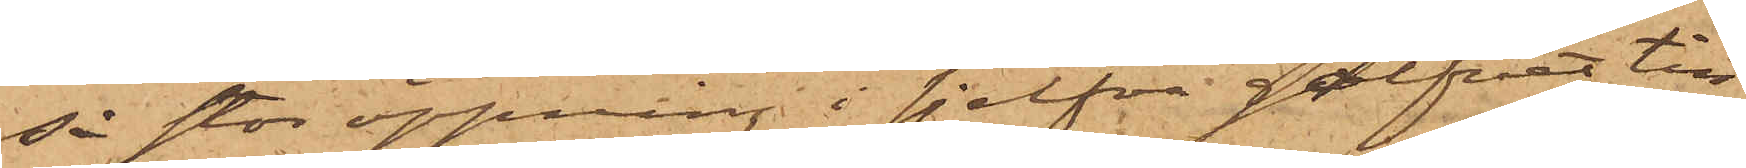så stor öppning i sjelfva golfvet till
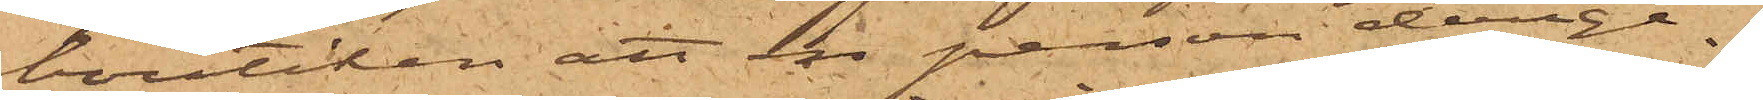boutiken att en person derige¬
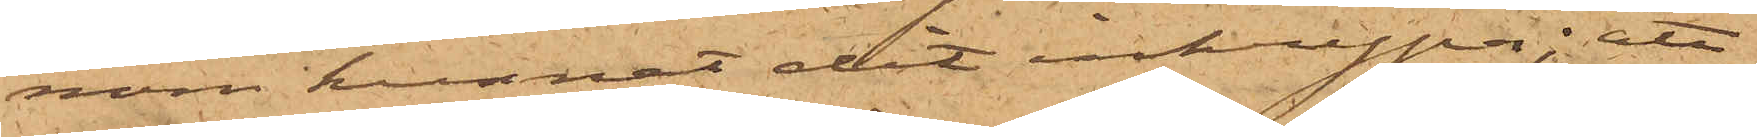nom kunnat dit inkrypa; att
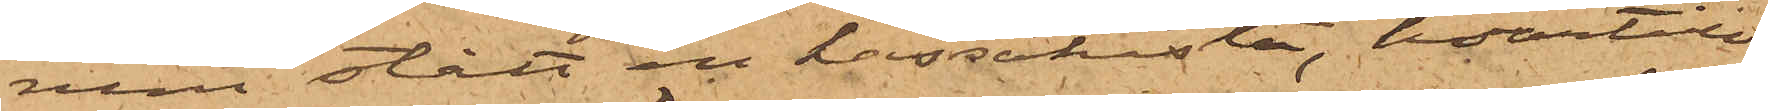rum stått en kassakista, hvartill
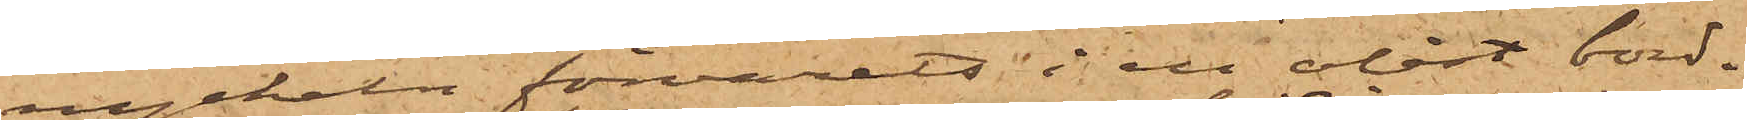nyckeln förvarats i en olåst bord¬
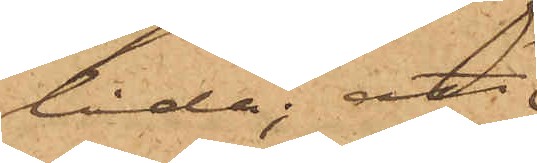låda; att
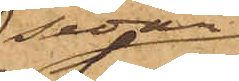sedan
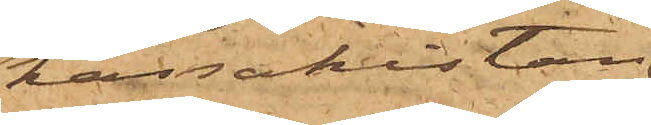kassakistan
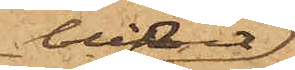blifvit
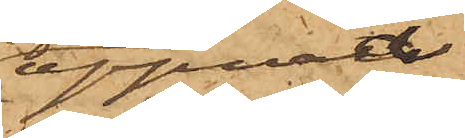öppnad
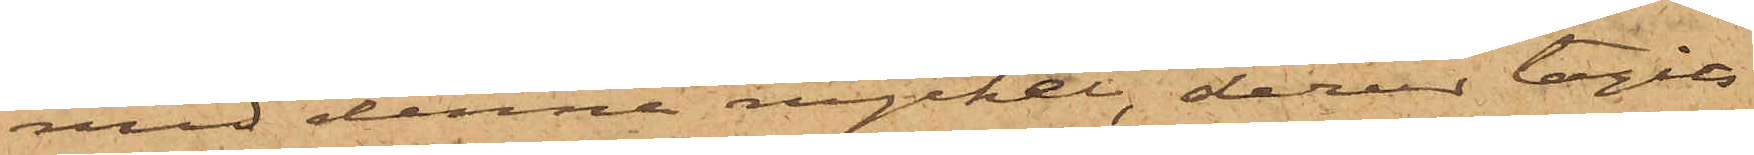med denna nyckel, derur tagits
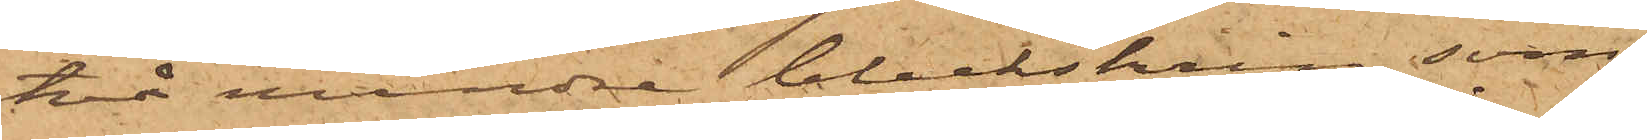två mindre bleckskrin, som
